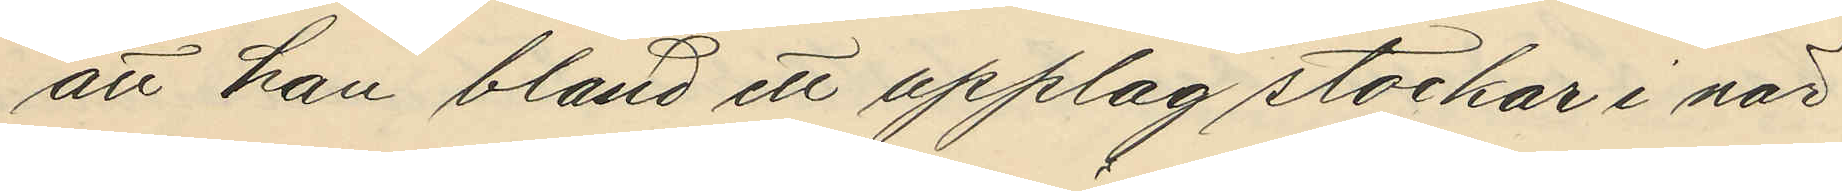att han bland ett upplag stockar i när¬
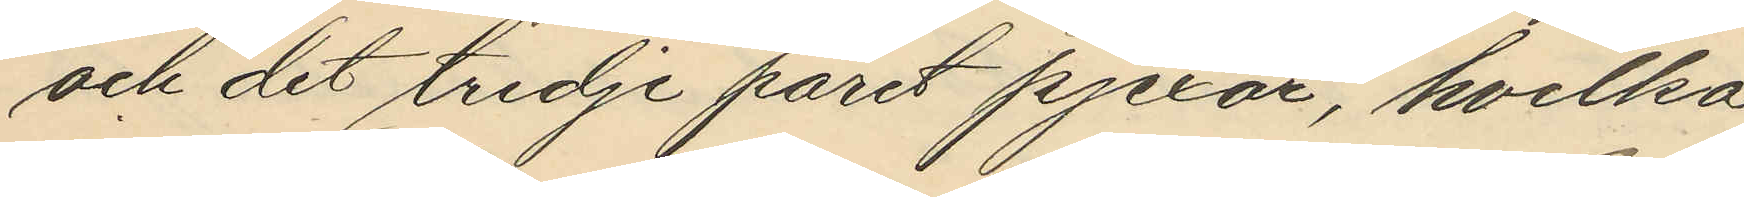och det tredje paret pjexar, hvilka 
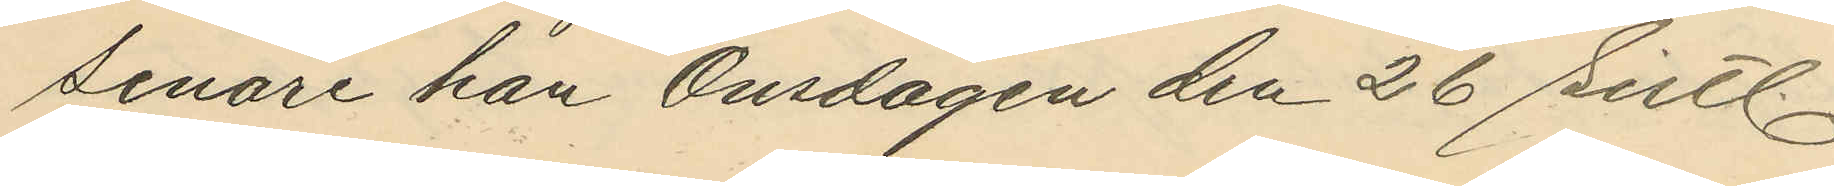senare han Onsdagen den 26 sistl.
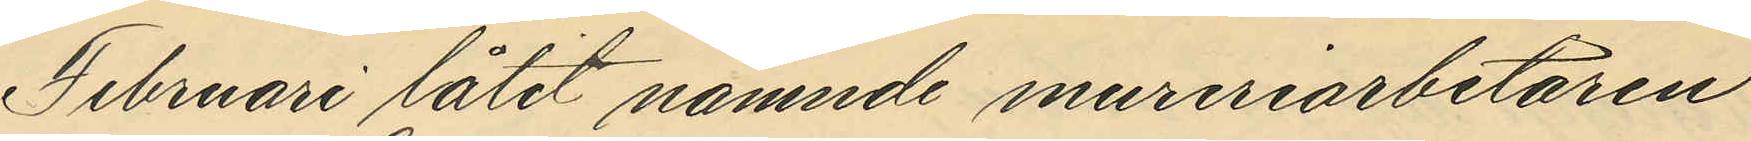Februari låtit nämnde mureriarbetaren 
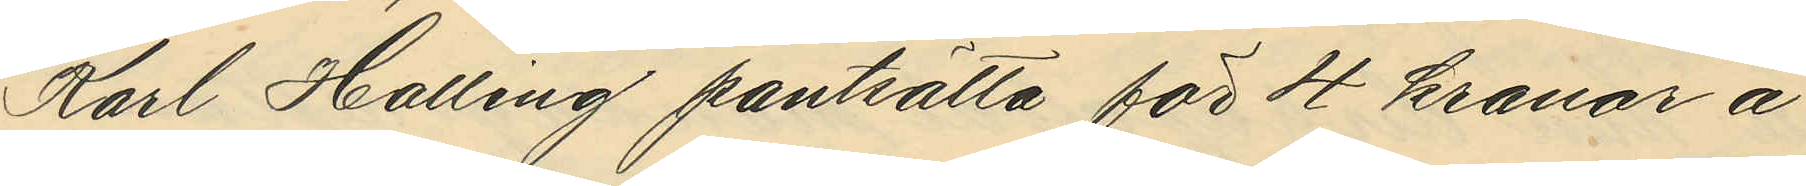Karl Halling pantsätta för 4 kronor å
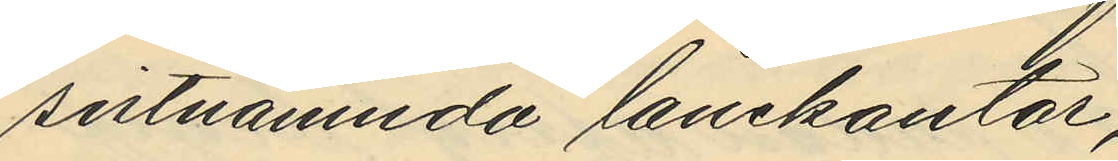sistnämnda lånekontor;
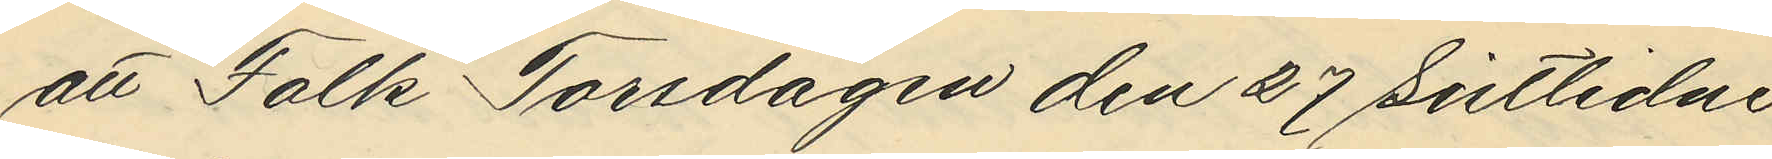att Falk Torsdagen den 27 sistlidne
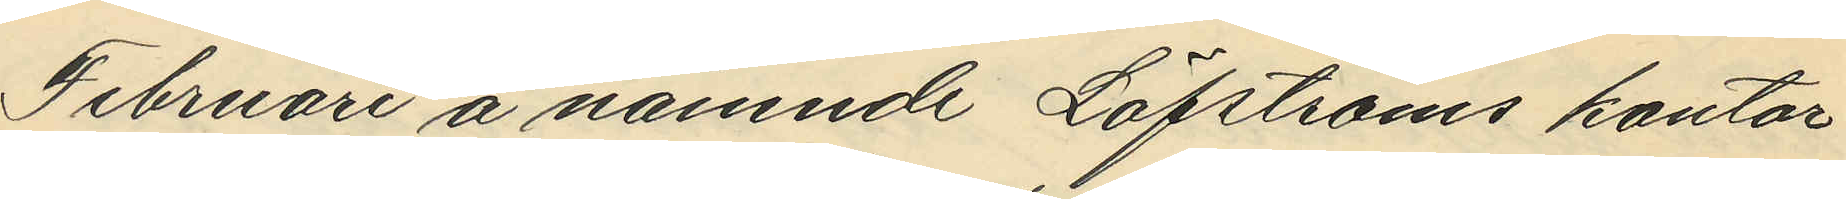Februari å nämnde Löfströms kontor
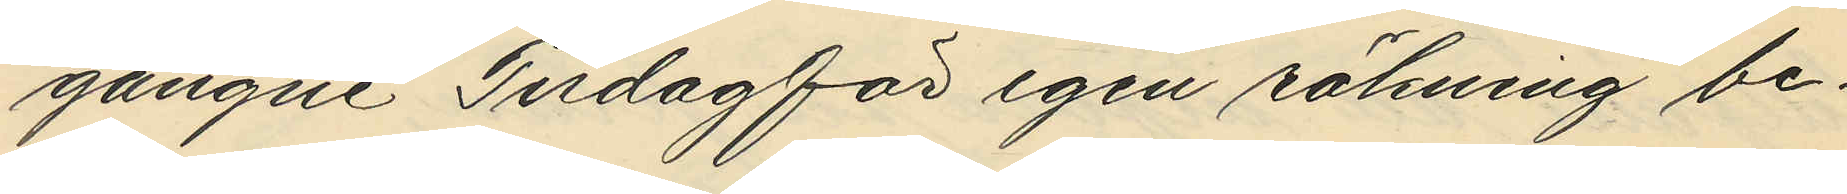gångne Tisdag för egen räkning be¬
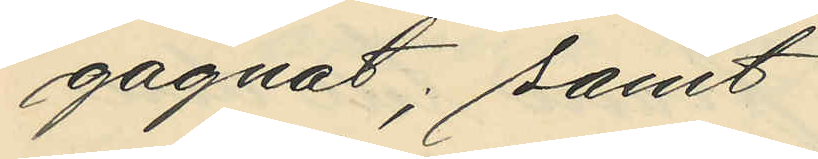gagnat, samt
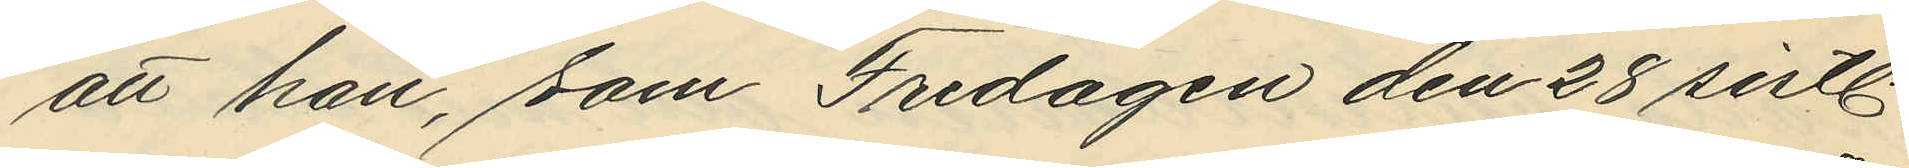att han, som Fredagen den 28 sistl.
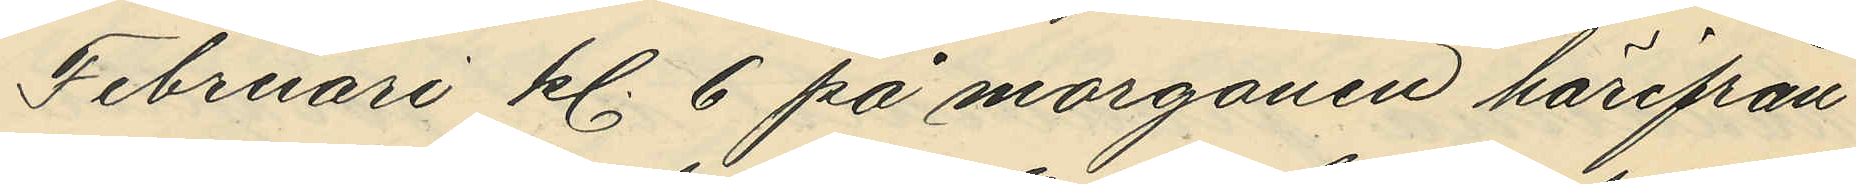Februari kl. 6 på morgonen härifrån
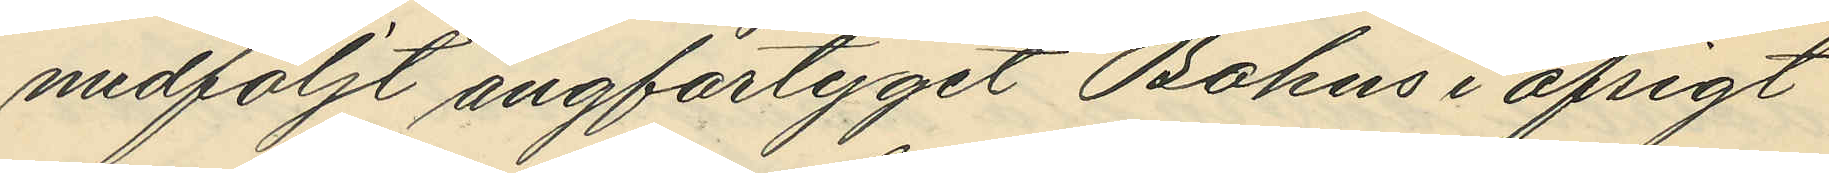medföljt ångfartyget Bohus i afsigt
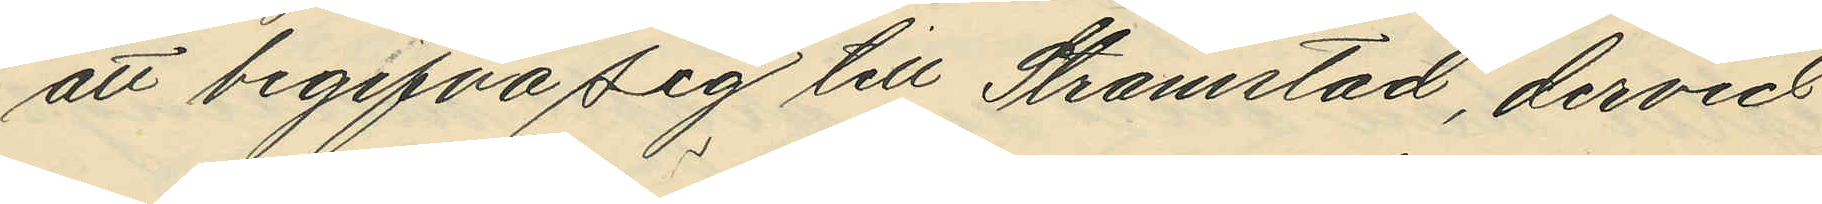att begifa sig till Strömstad, dervid
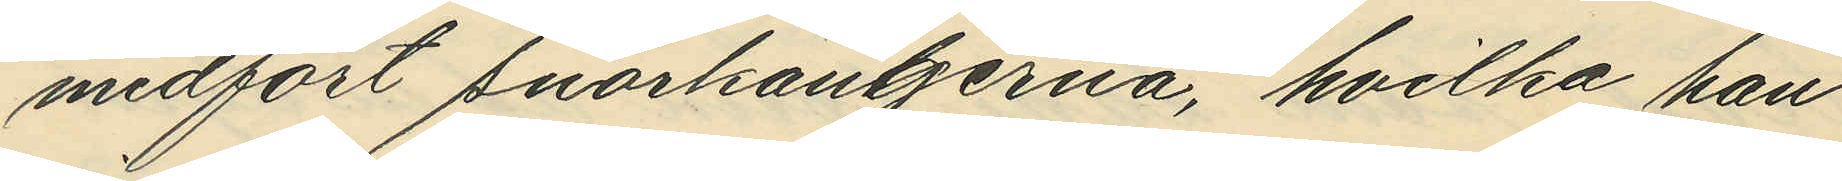medfört snörkängerna, hvilka han 
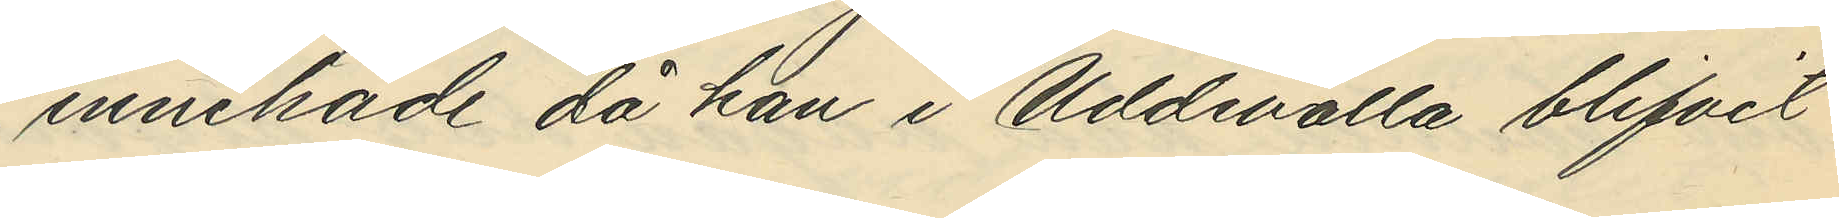innehade då han i Uddevalla blifvit
